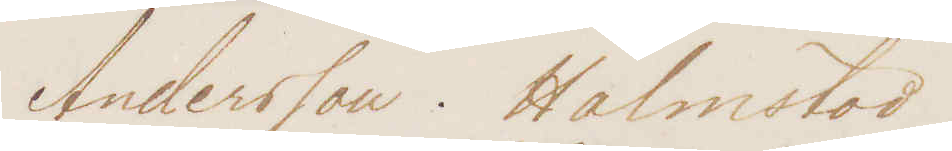Andersson. Halmstad!
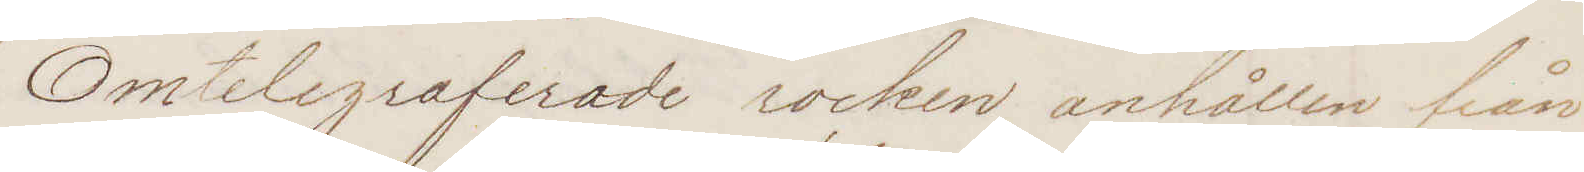Omtelegraferade rocken, anhållen från
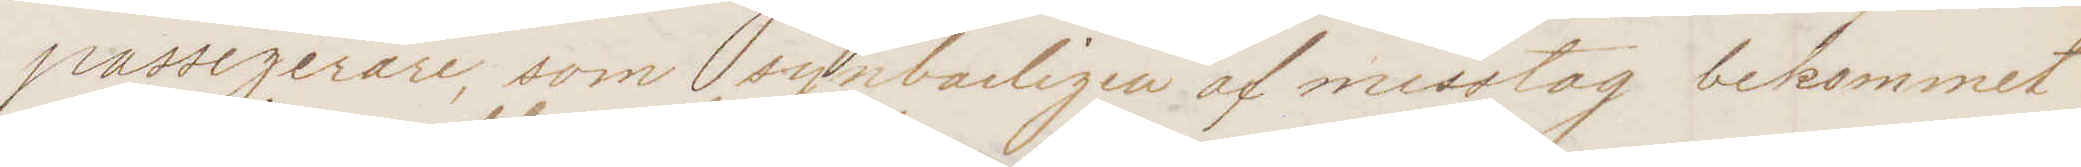passagerare, som synbarligen af misstag bekommit
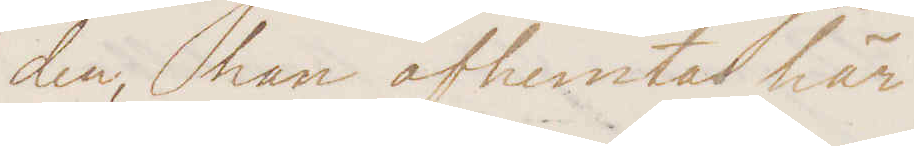den, kan afhemtas här
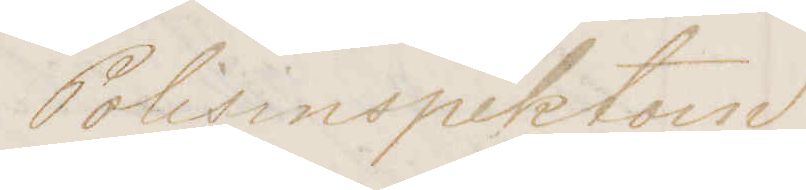Polisinspektorn
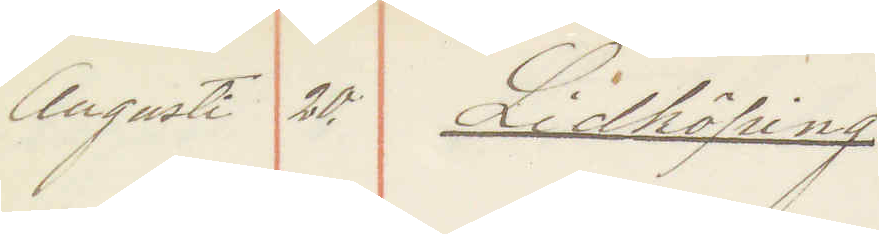Augusti 20. Lidköping
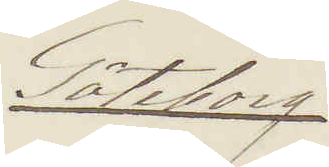Göteborg
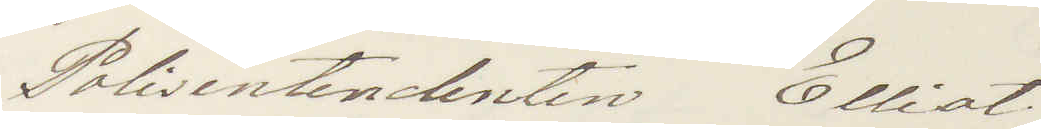Polisintendenten Elliot
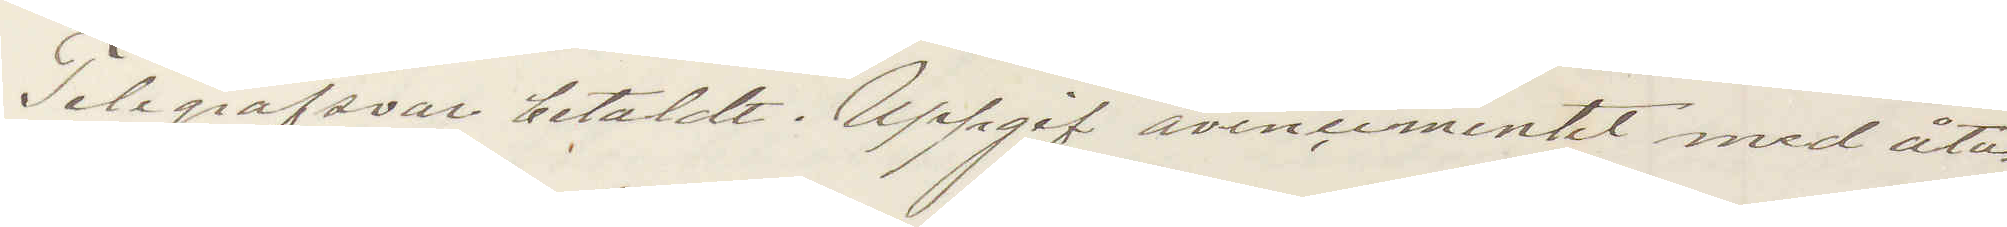Telegrafsvar betaldt Uppgif avencementet med åta¬
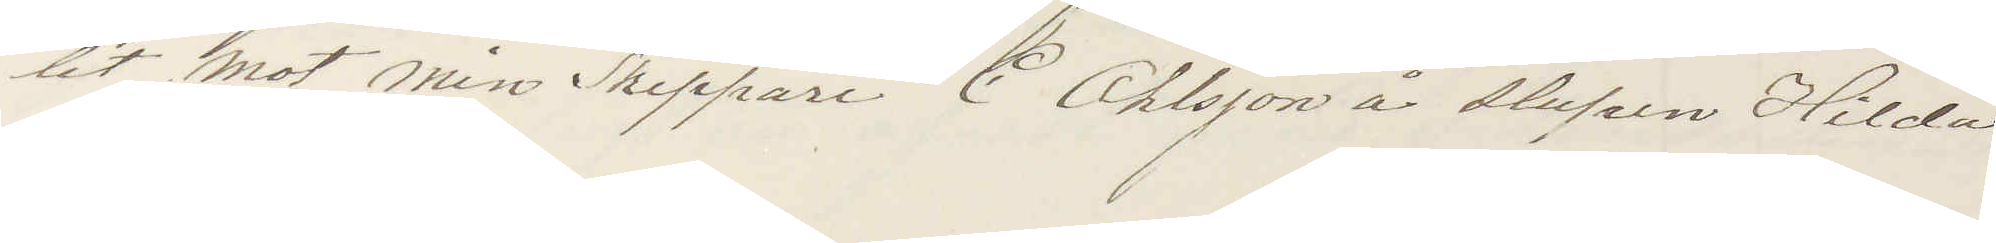let mot min Skeppare C Ohlsson å slupen Hilda
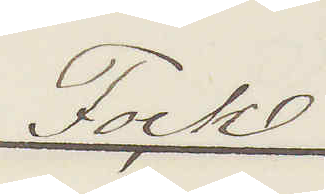Fock
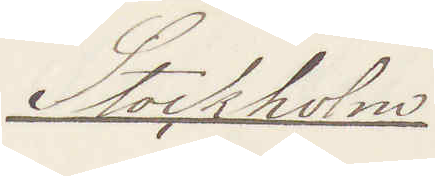Stockholm
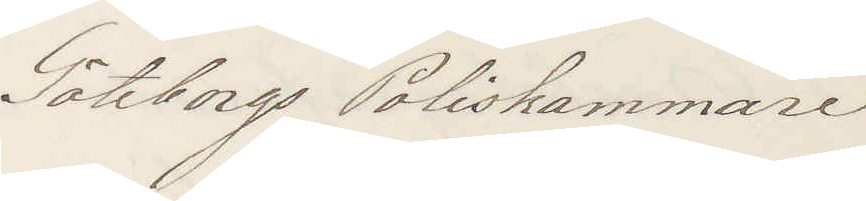Göteborgs Poliskammare
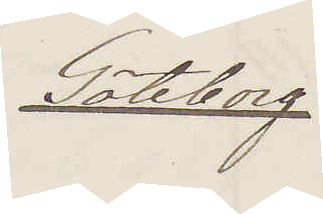Göteborg
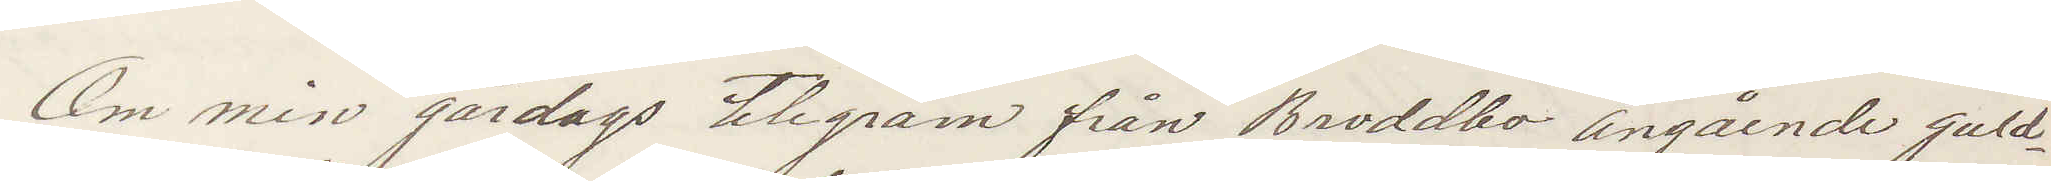Om min gårdags telegram från Broddbo angående guld¬
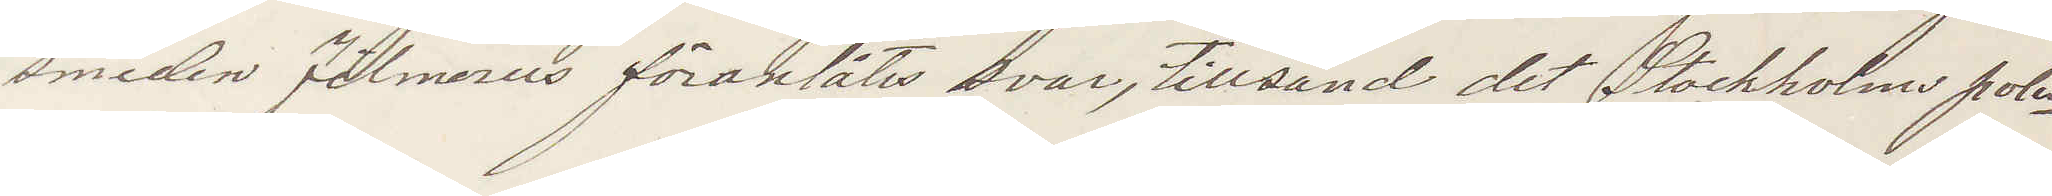smeden Filmeus föranlåtes svar, Tillsändt det Stockholms polis¬
